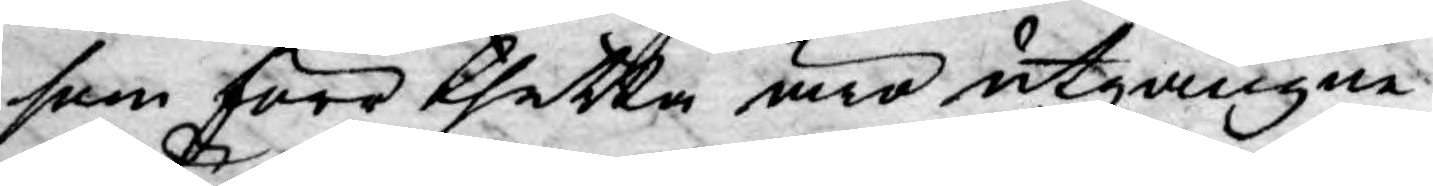som förr thetta äro utgångne
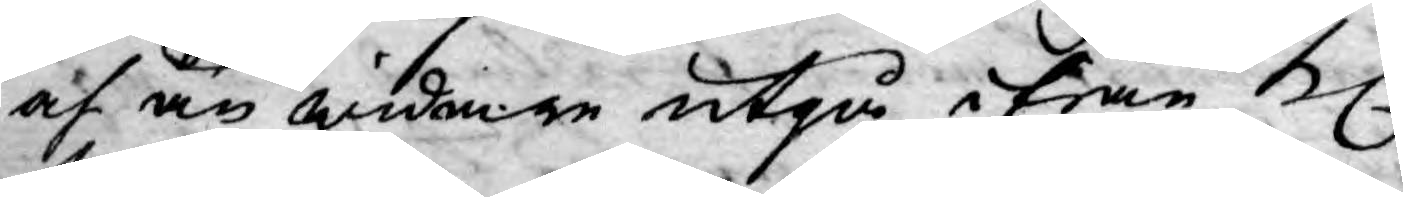af än widare utgå ifrån Kl.
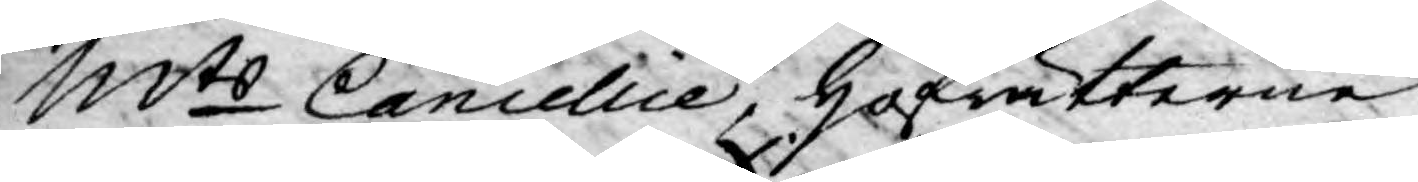Mts Cancellie, Hofrätterne
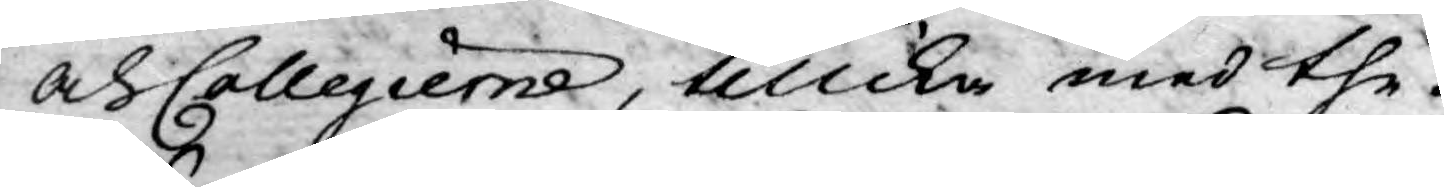och Collegierne, tillika med the-
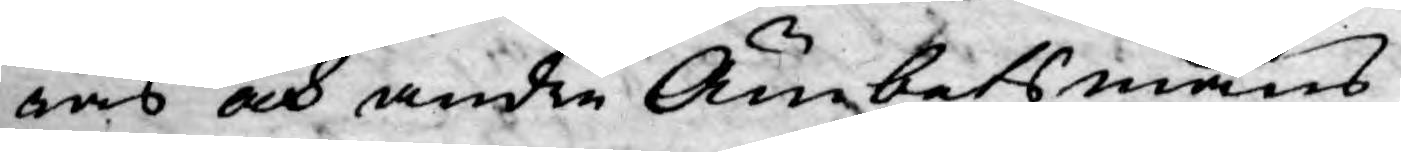ras och andre Ämbetsmäns
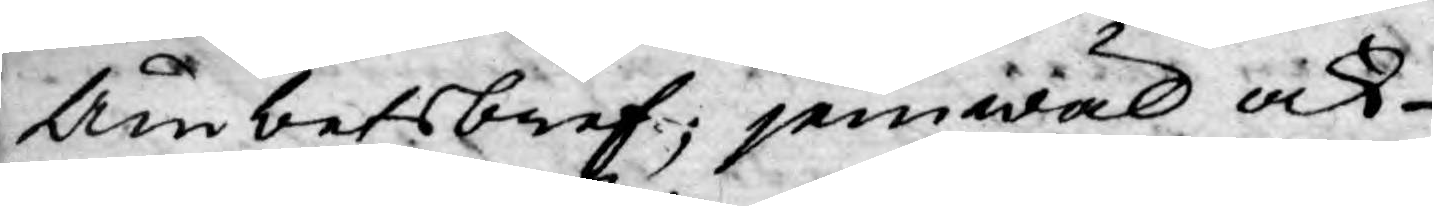Ämbetsbref; jemwäl ock
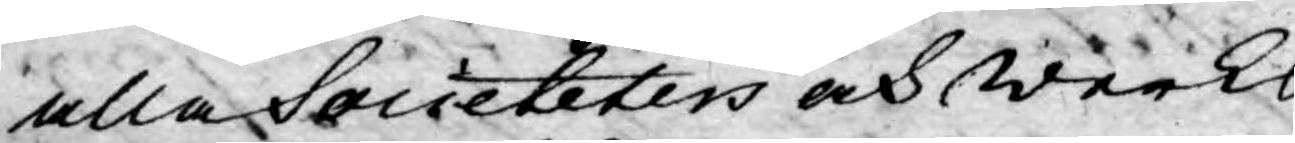alla Societeters och werks
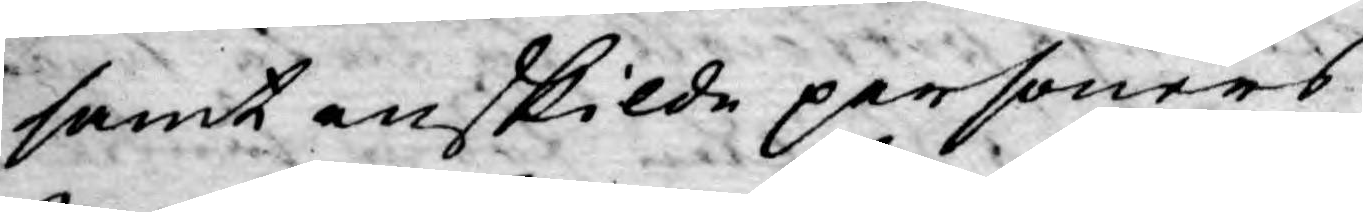samt enskilde personers
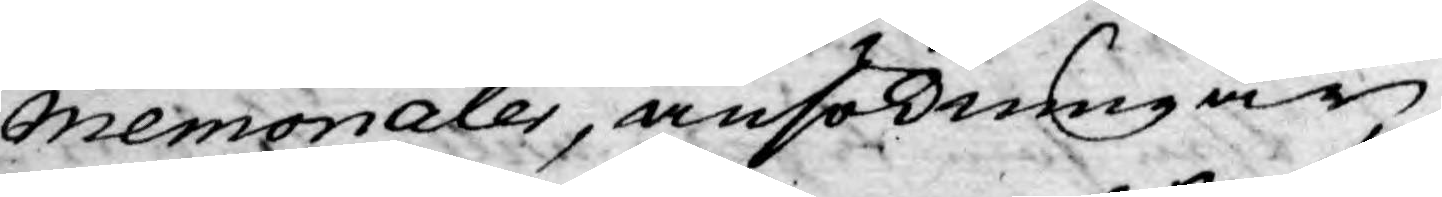Memorialer, ansökningar,
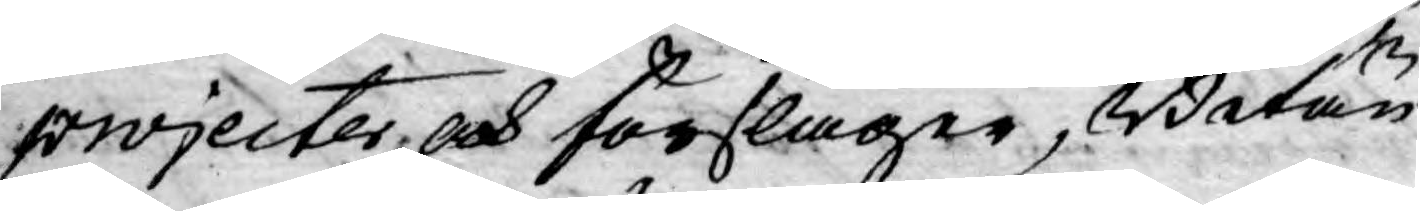projecter och förslager, Betän¬
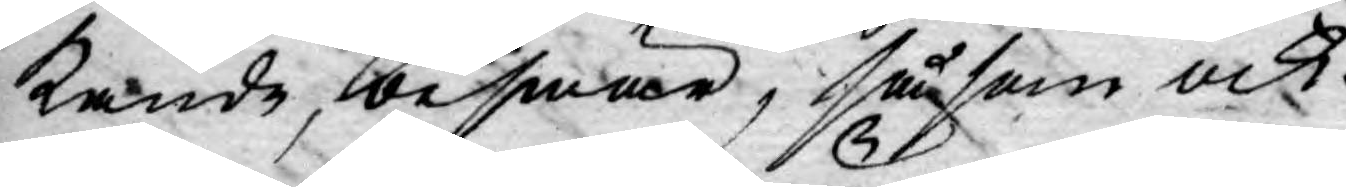kande, beswär, såsom ock
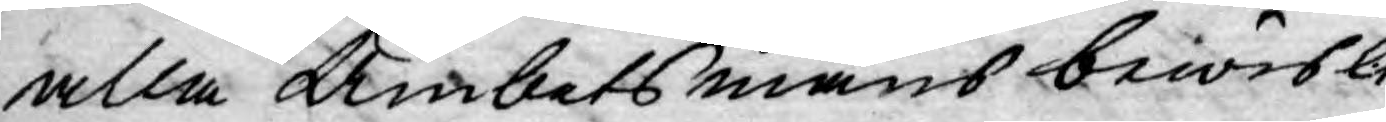alla Ämbetsmäns bewisli¬
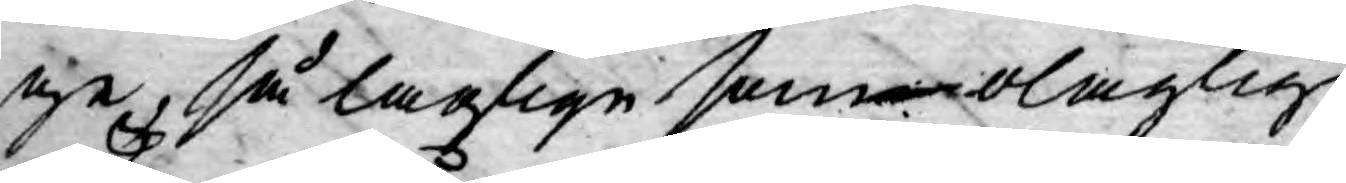ge, så laglige som olaglige
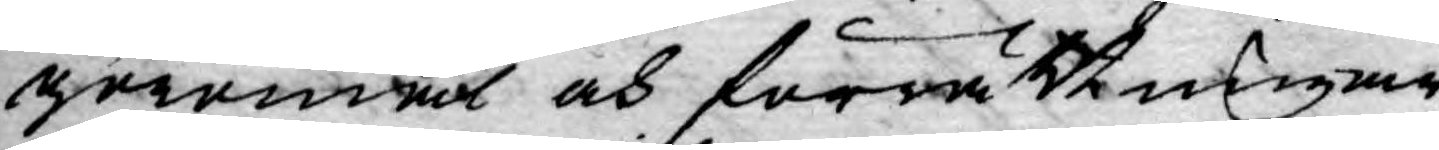göromål och förrättningar,
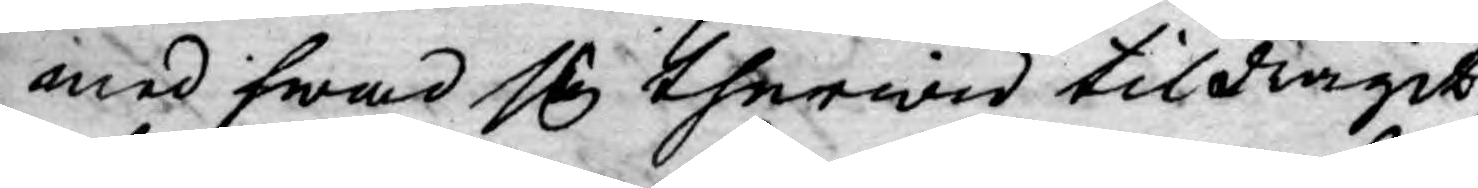med hwad sig therwid tildragit
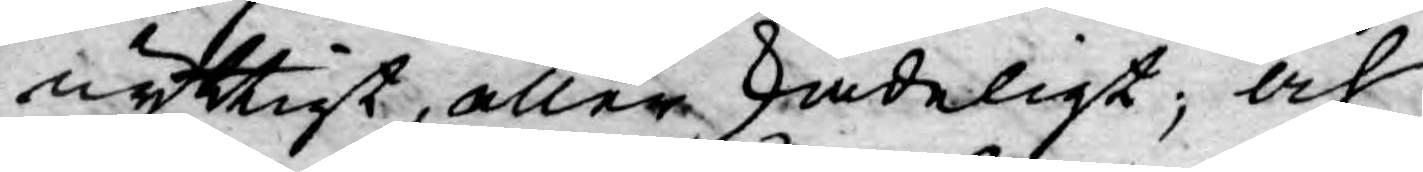nyttigt, eller skadeligt; och
